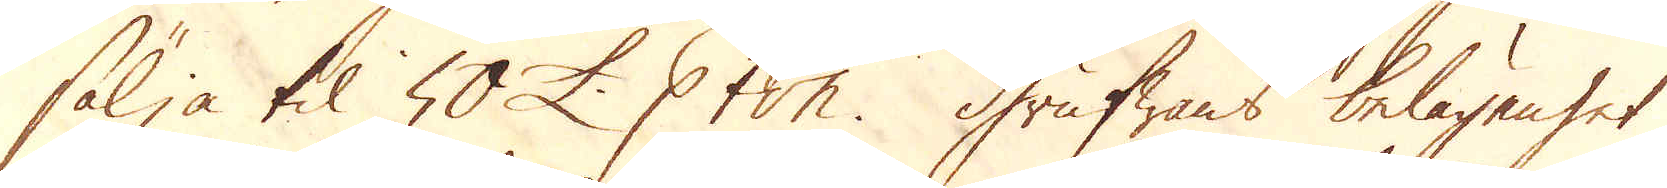sälja til 50 £. p ton. Grufwans belägenhet
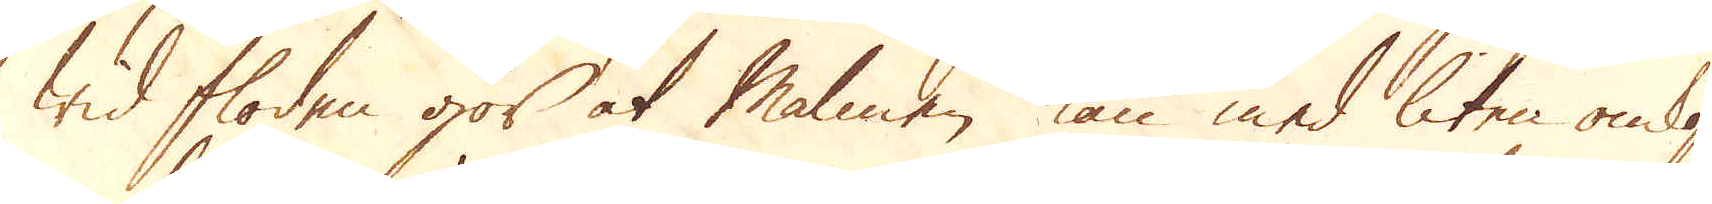wid floden gör at Malmen kan med liten omkost-
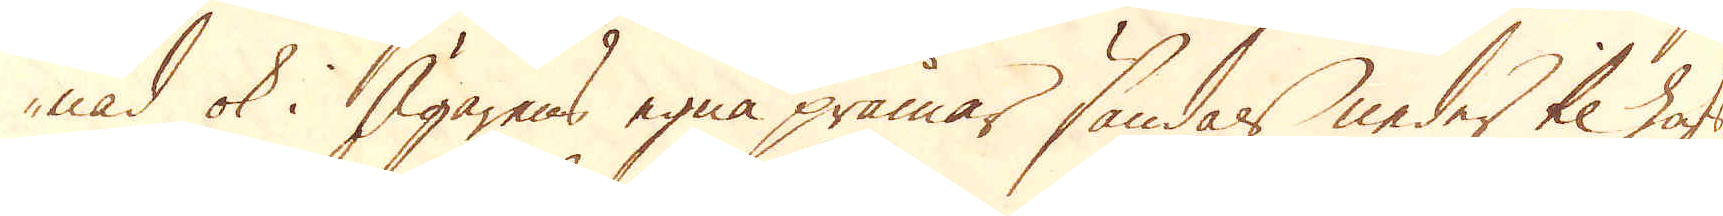nad ok i Ägarens egna pråmar sändas neder til hafs-
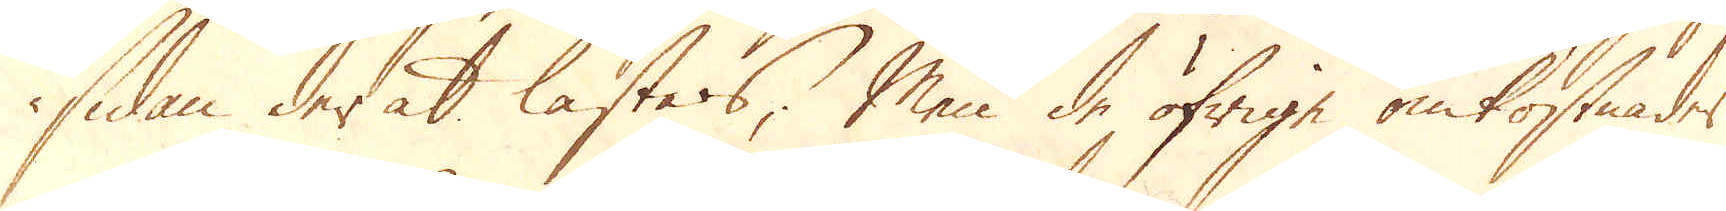sidan der at lastas; Men de öfrige omkostnader
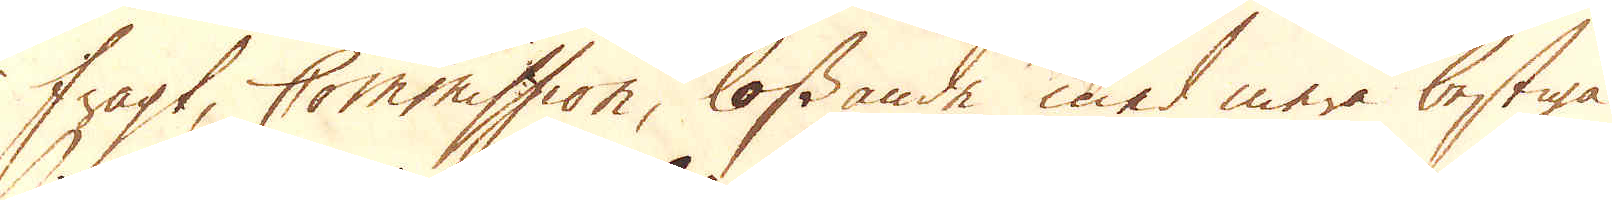fragt, Commission, lossande med mera bestiga
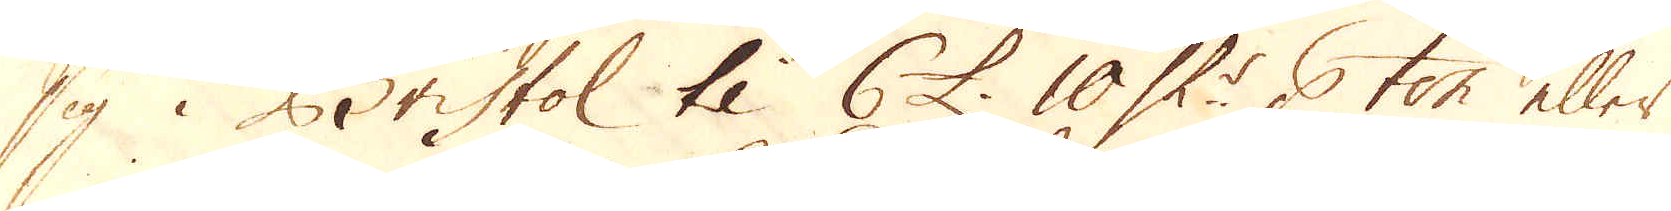sig i Bristol til 6 £. 10 Sk:r p ton eller
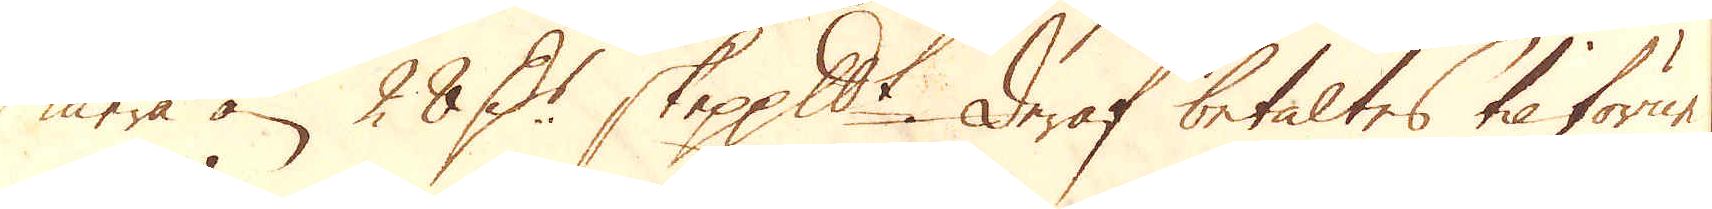mera än 28 D:r skeppundet. Deraf betaltes til favur
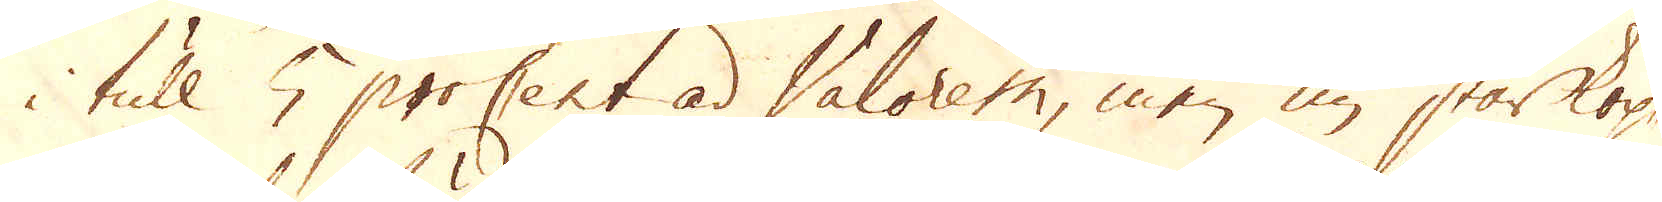i tull 5 proCent ad valorem, men nu står kop-
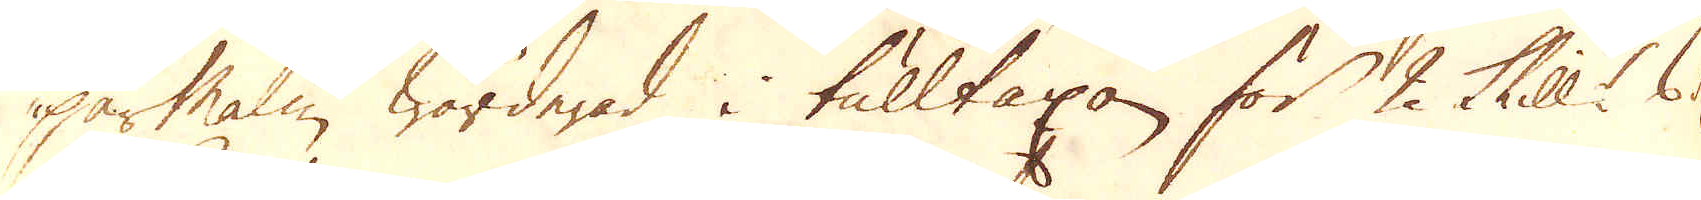parmalm wärderad i tulltaxan för 2 Skill:r 6 d
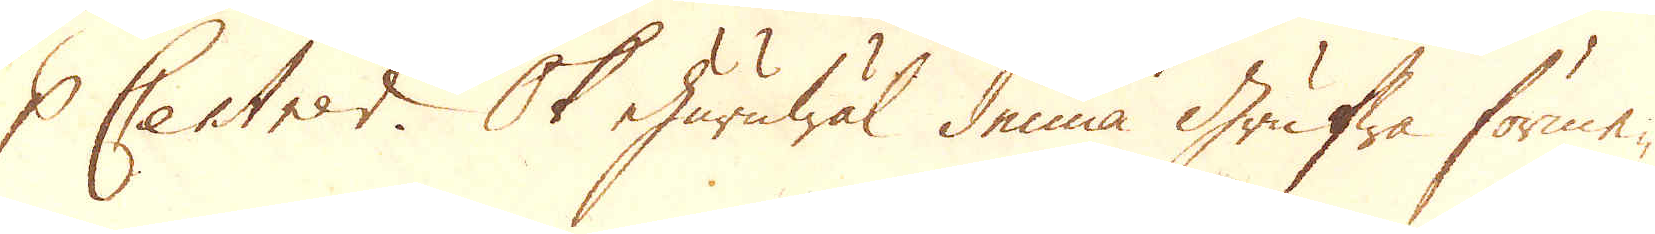p Centner. Ok ehuruwäl denna grufwa förme-
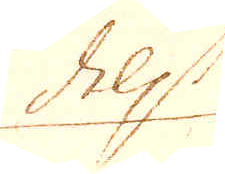dels
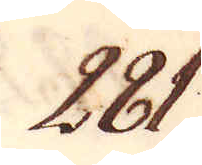281.
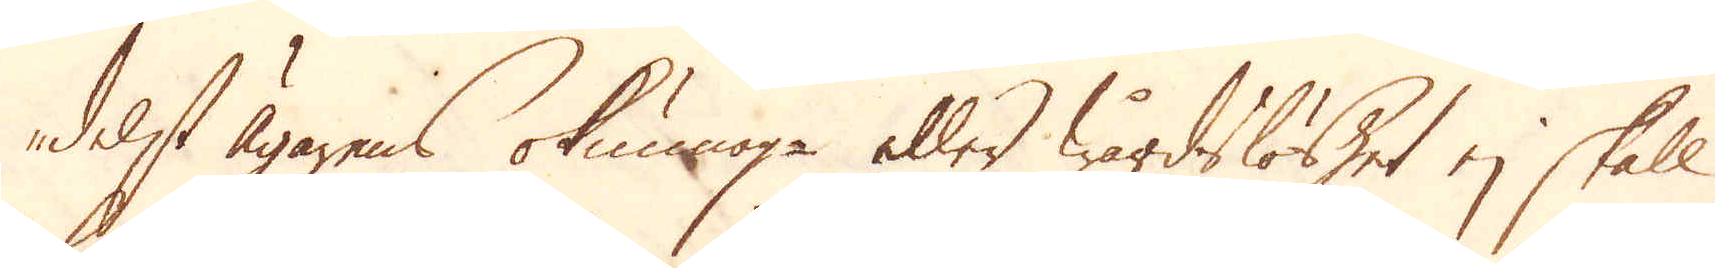delst Ägarens okunnog- eller wårdslöshet ej skall
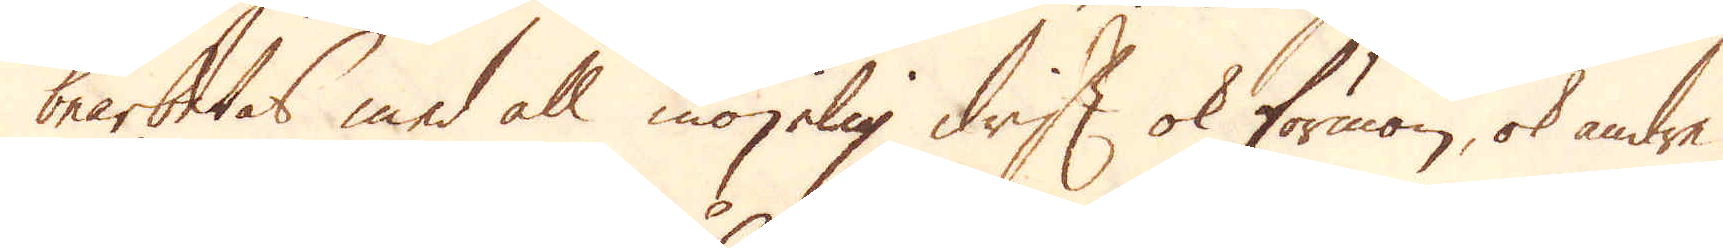bearbetas med all möjelig drift ok förmon, ok andre
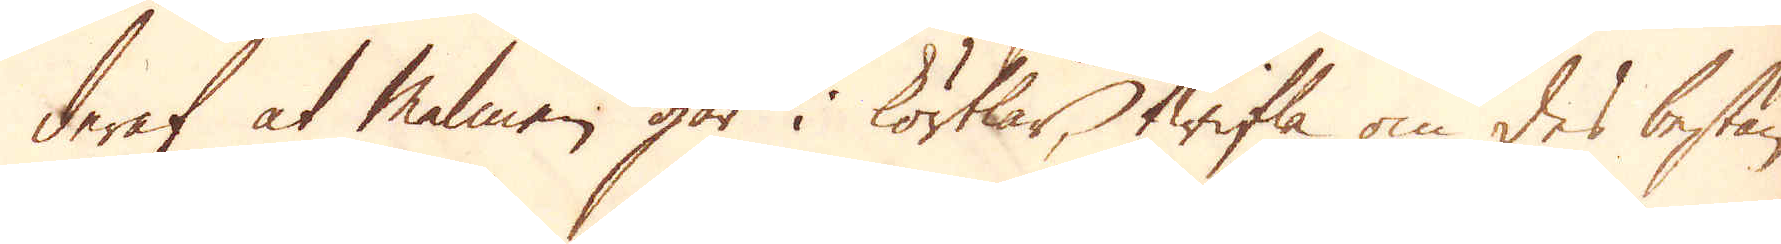deraf at Malmen går i körtlar, twifla om des bestän-
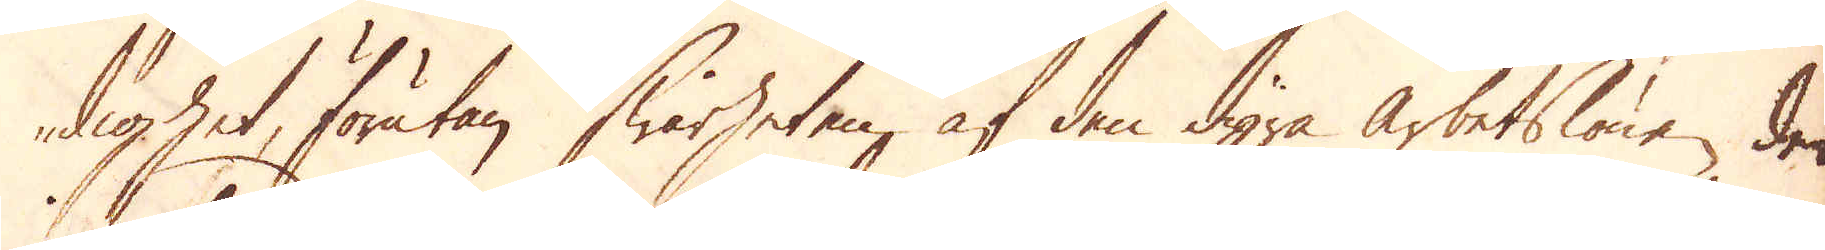dighet, förutan swårheten af den dyra arbetslönen, den
